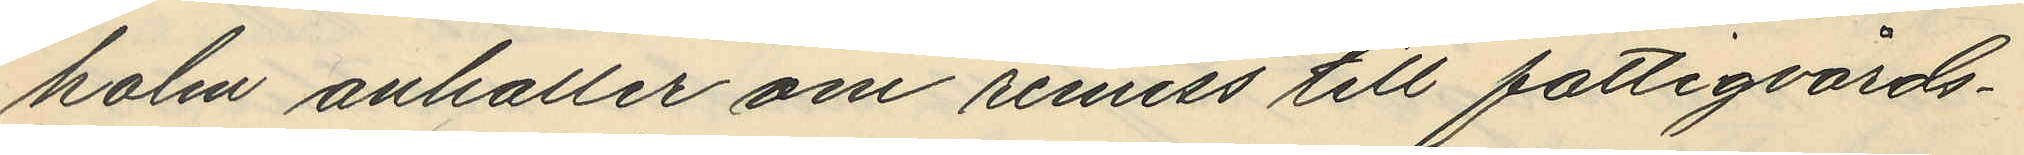holm anhåller om remiss till fattigvårds¬
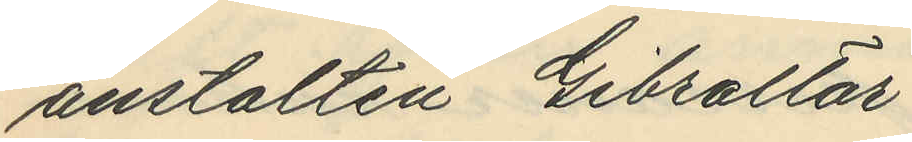anstalten Gibraltar
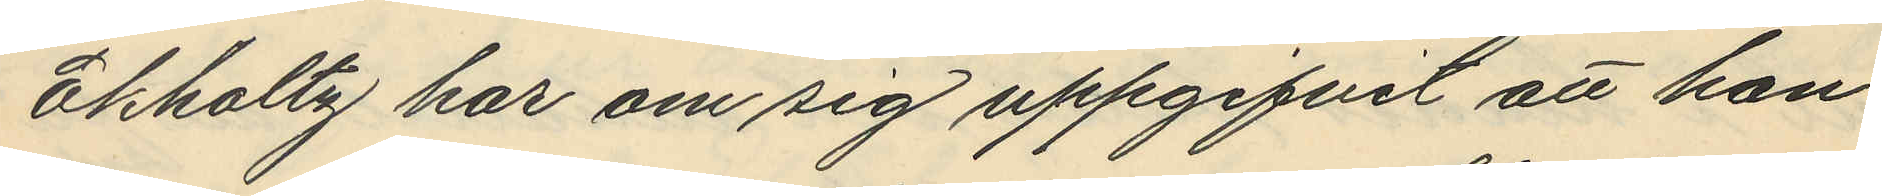Ekholtz har om sig uppgifvit att han
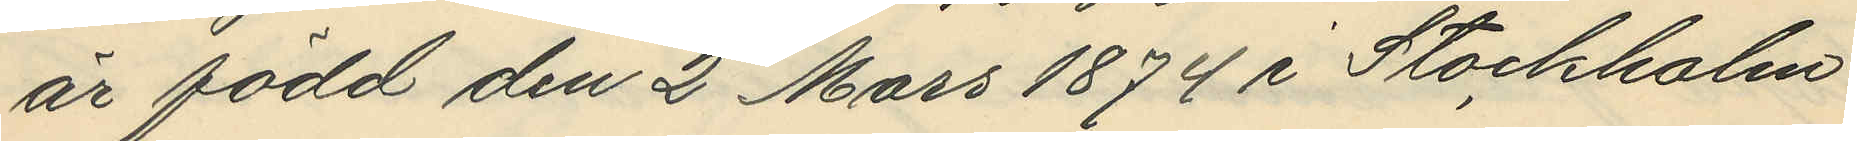är född den 2 Mars 1874 i Stockholm
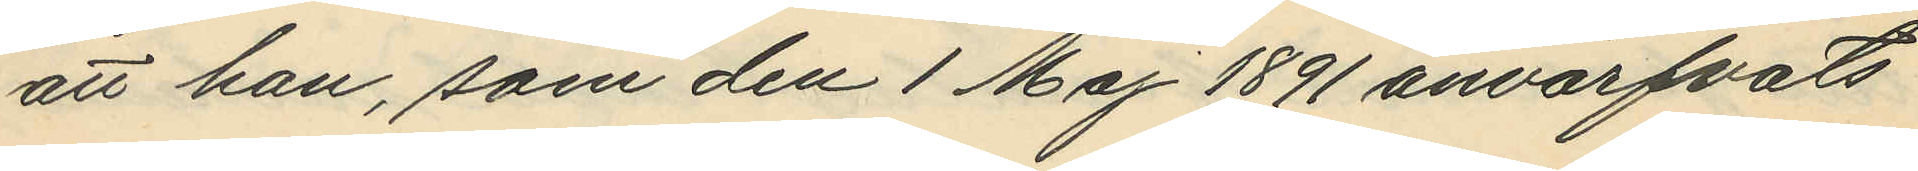att han, som den 1 Maj 1891 anvärfvats
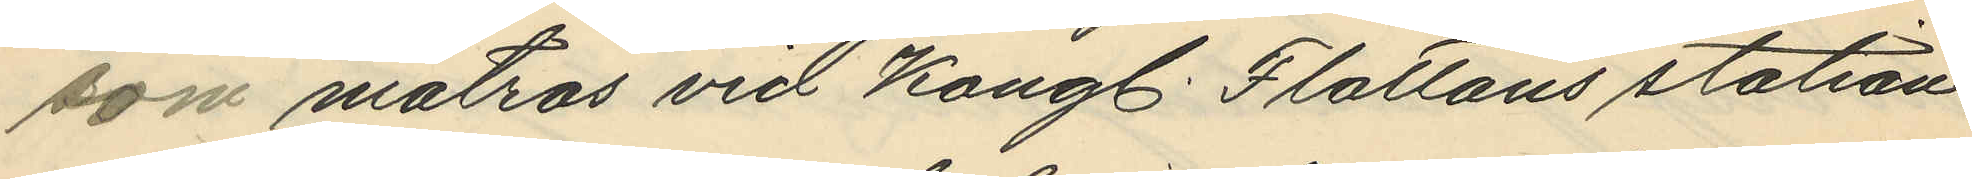som matros vid Kongl. Flottans station
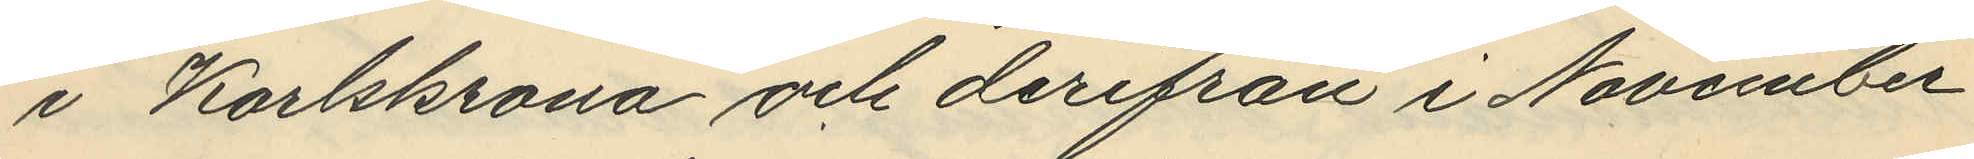i Karlskrona och derifrån i November
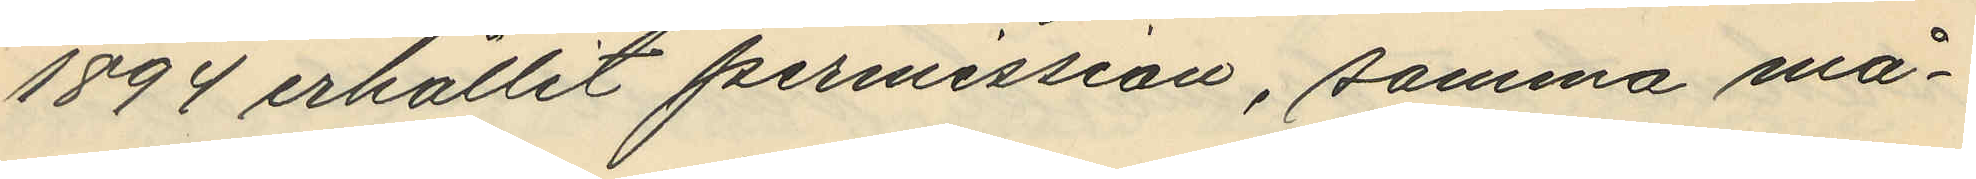1894 erhållit permission, samma må¬
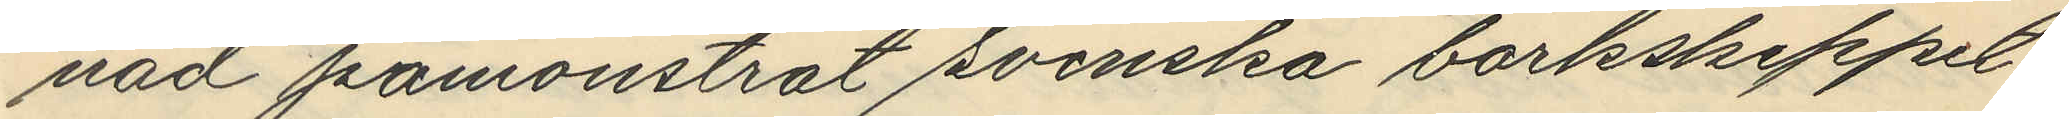nad påmönstrat svenska barkskeppet
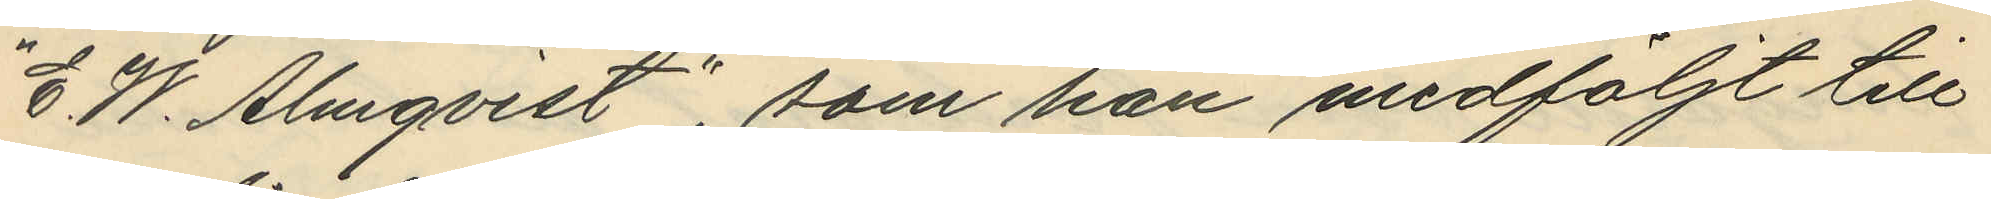"E. W. Almqvist", som han medföljt till
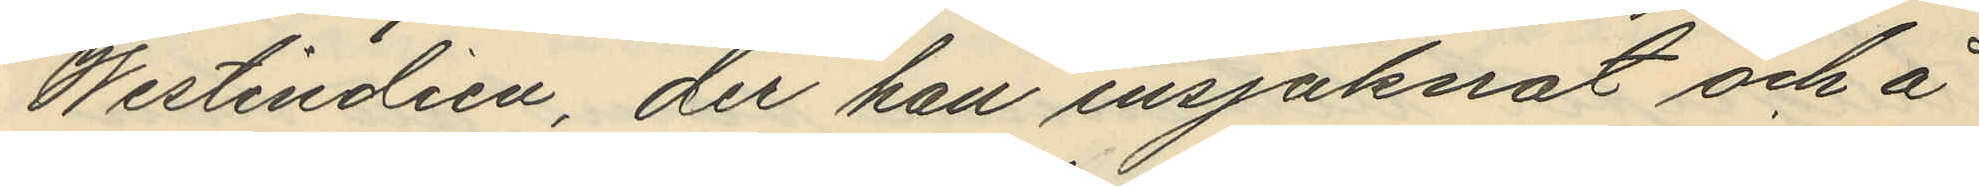Westindien, der han insjuknat och å
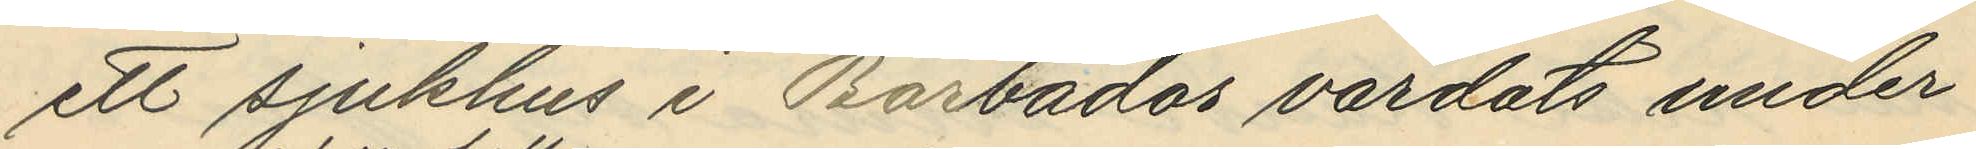ett sjukhus i Barbados vårdats under
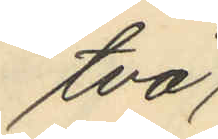två
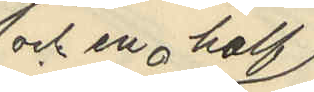 och en half
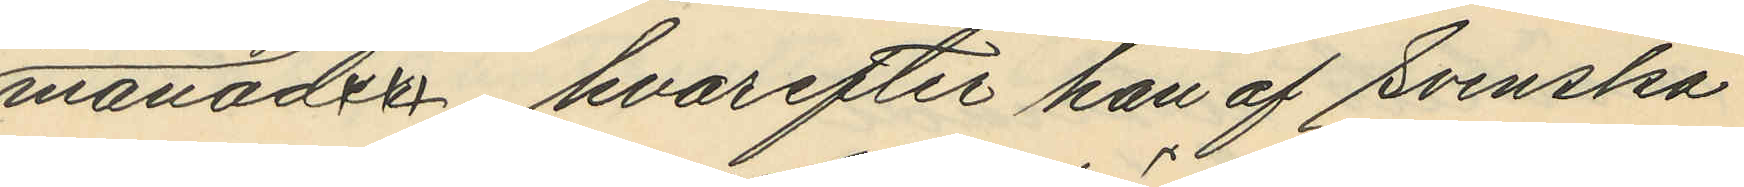månader, hvarefter han af svenska
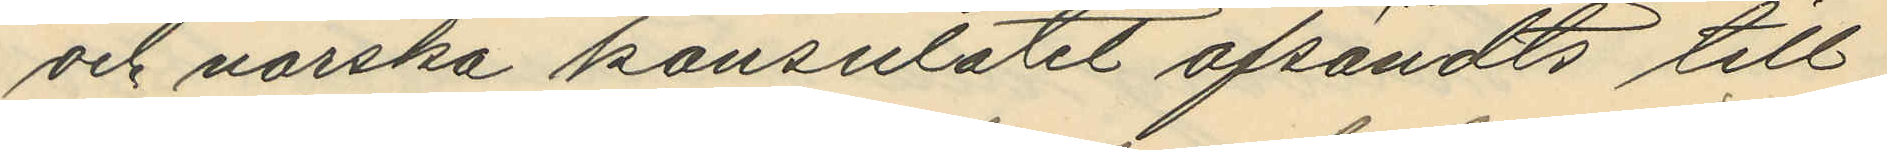och norska konsulatet afsändts till
